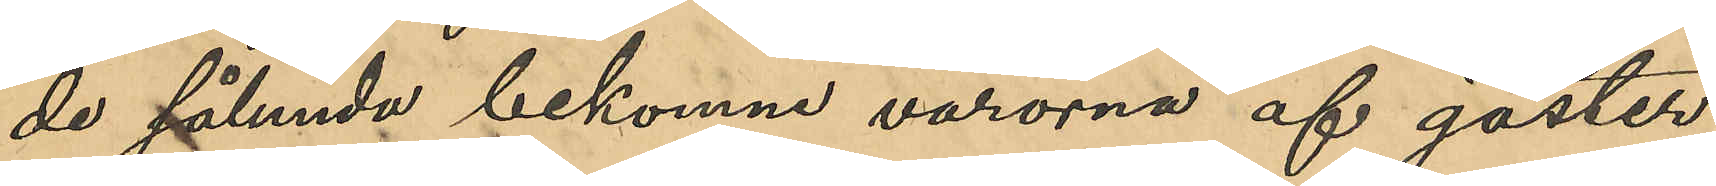de sålunda bekomne varorna af gäster
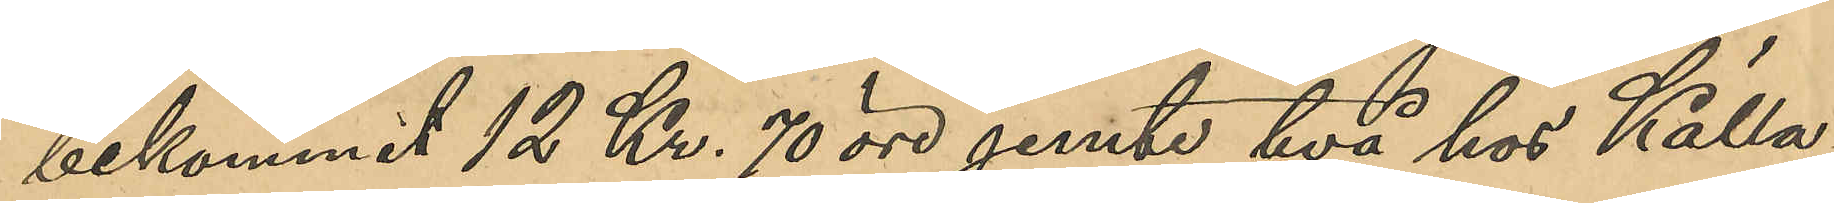bekommit 12 Kr. 70 öre jemte två hos Källa¬
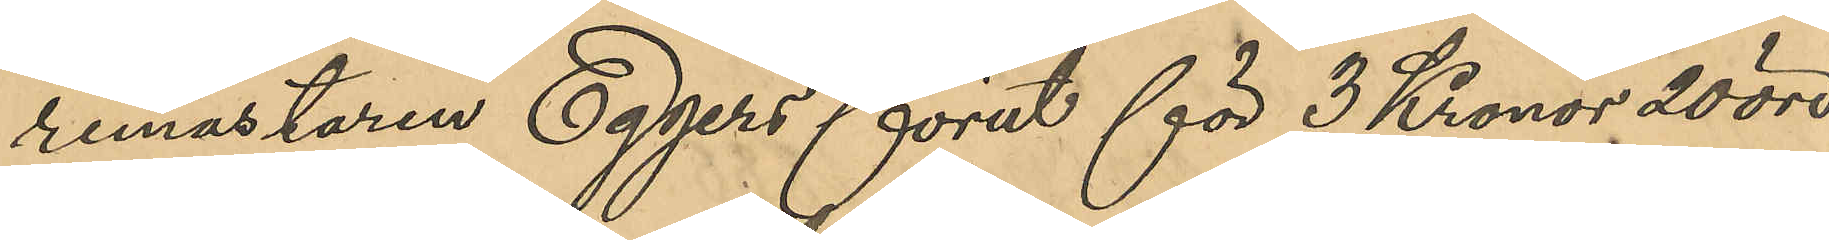remästaren Eggers förut för 3 Kronor 20 öre
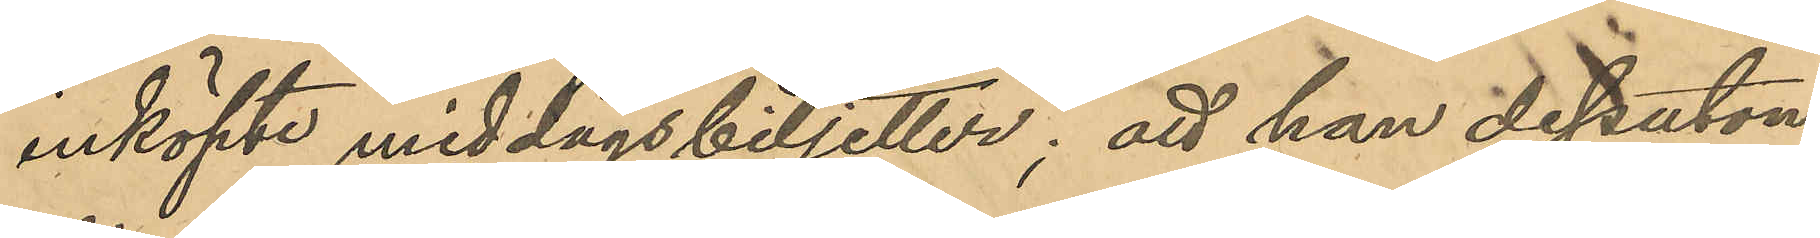inköpt middagsbiljetter; att han dessutom
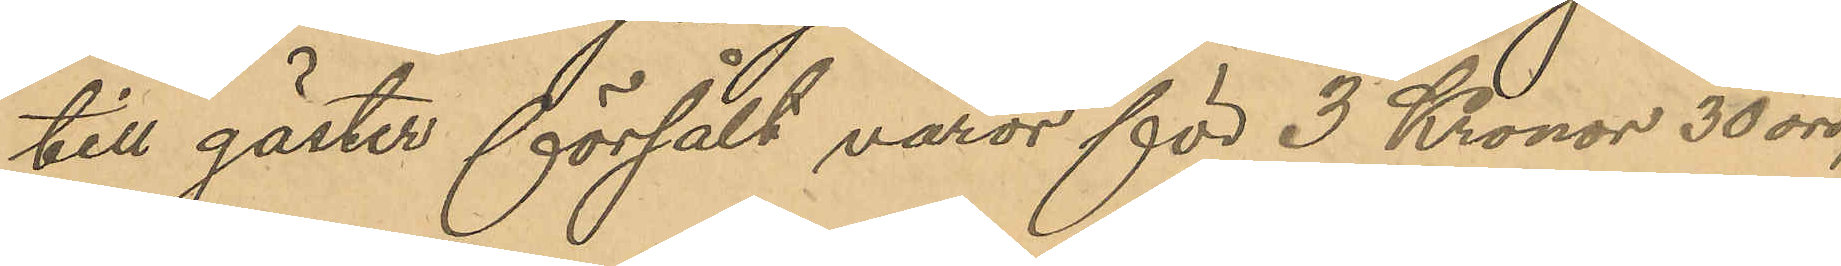till gäster försålt varor för 3 Kronor 30 öre,
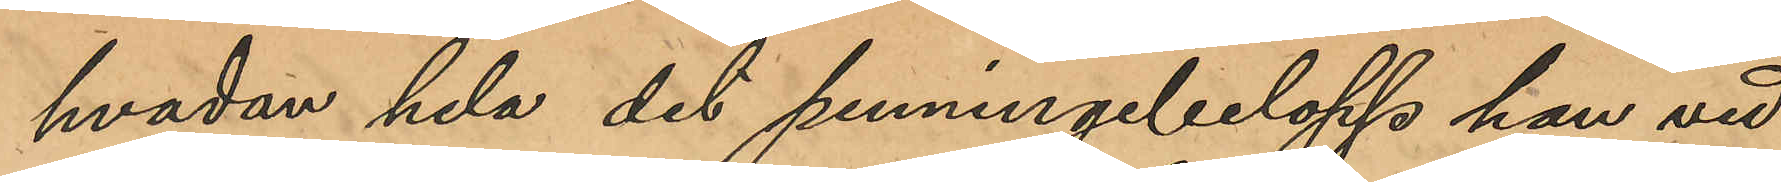hvadan hela det penningebelopp han vid
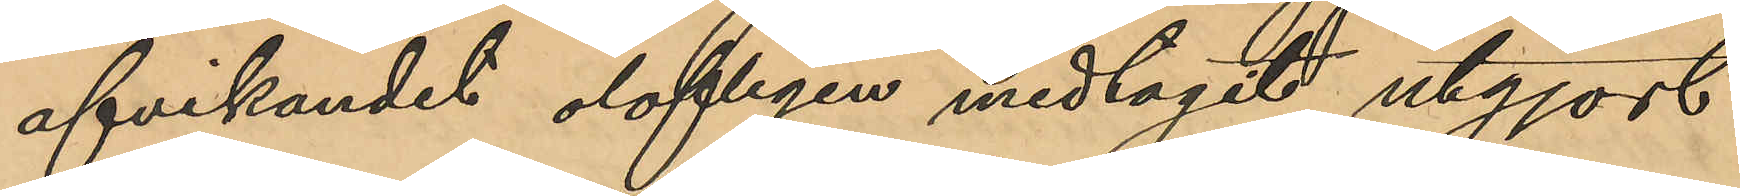afvikandet olofligen medtagit utgjort
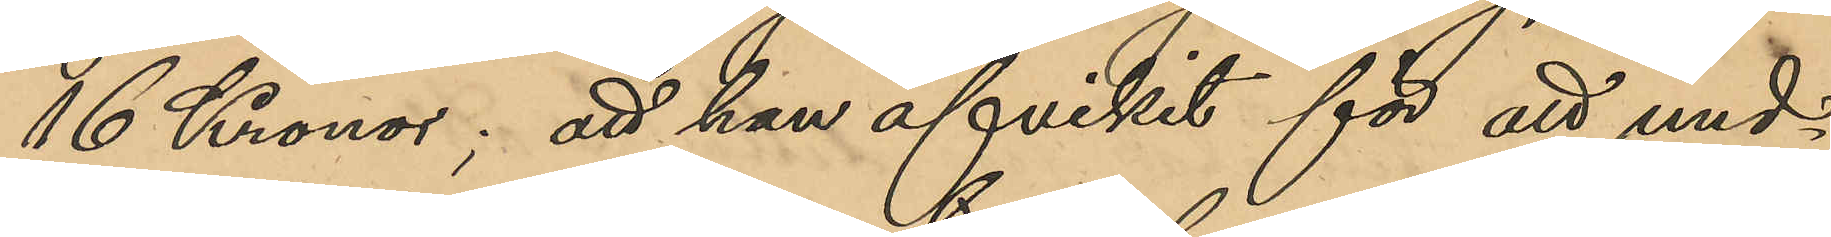16 Kronor; att han afvikit för att und¬
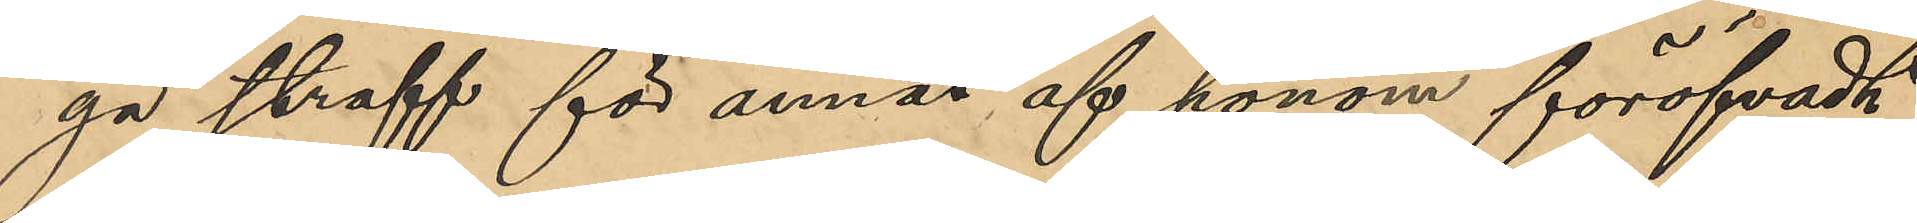gå straff för annat af honom föröfvadt
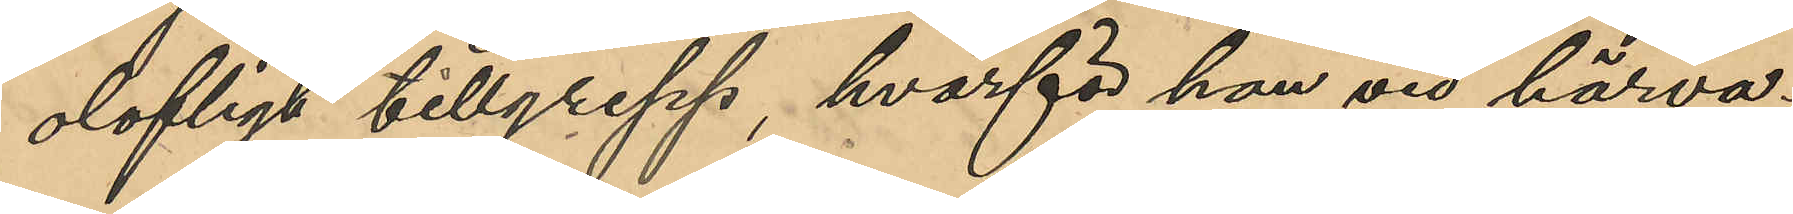olofligt tillgrepp, hvarför han vid härva¬
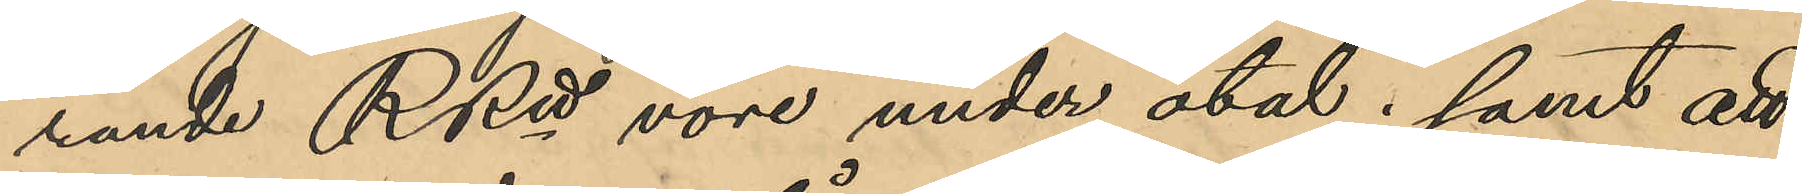rande RRtt vore under åtal; samt att
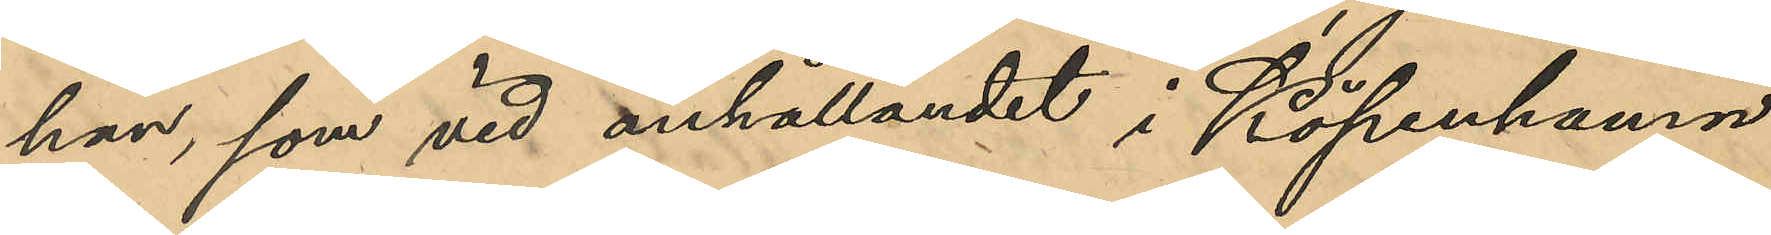han, som vid anhållandet i Köpenhamn
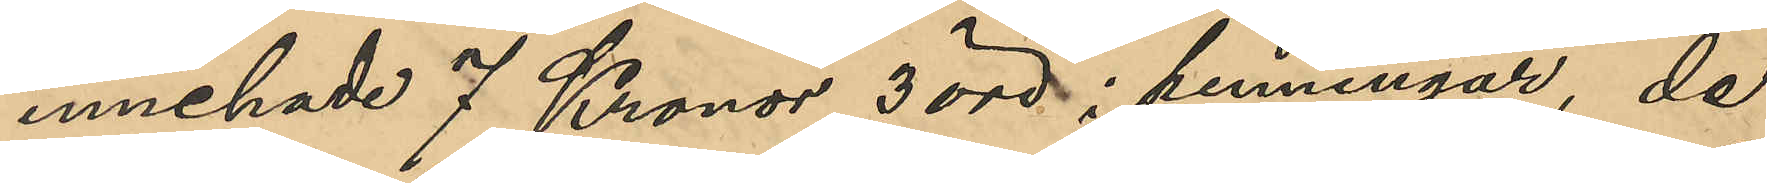innehade 7 Kronor 3 öre i penningar, de
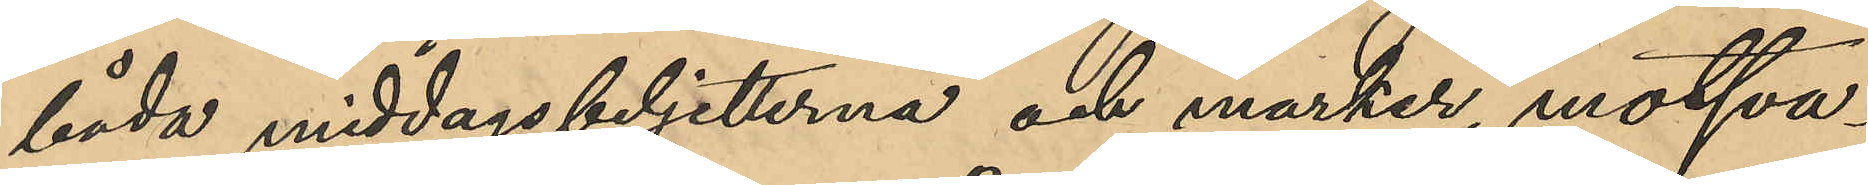båda middagsbiljetterna och marker, motsva¬
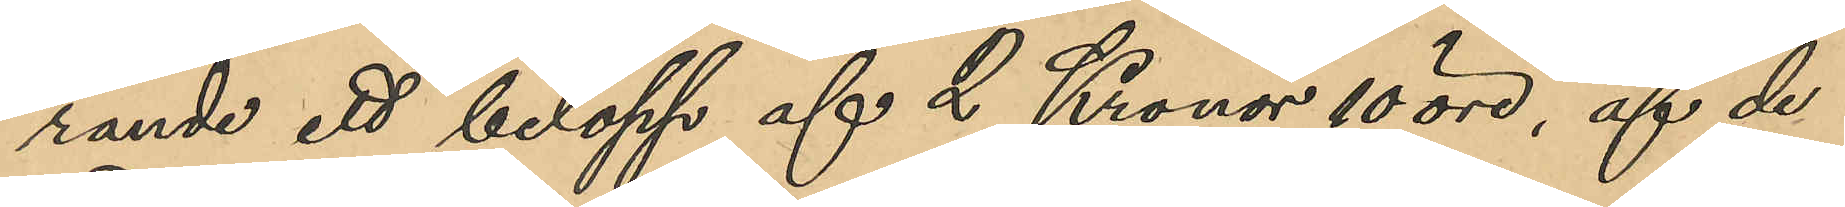rande ett belopp af 2 Kronor 10 öre, af de
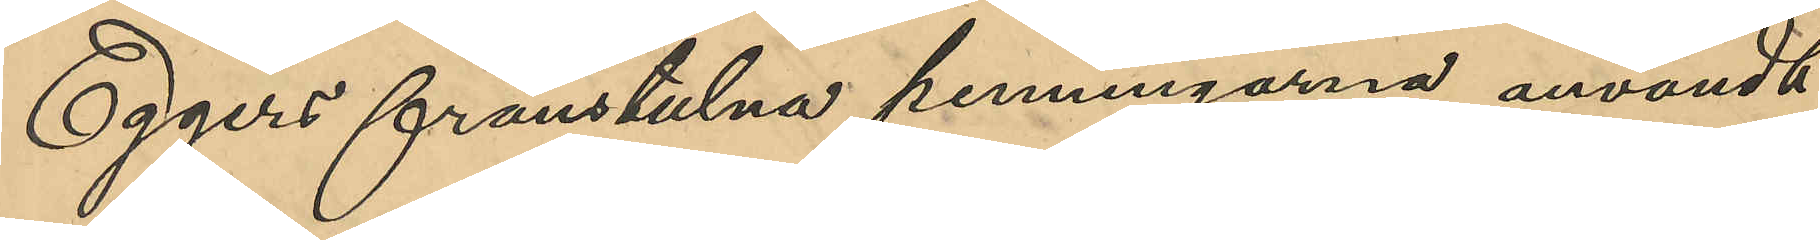Eggers frånstulna penningarna användt
